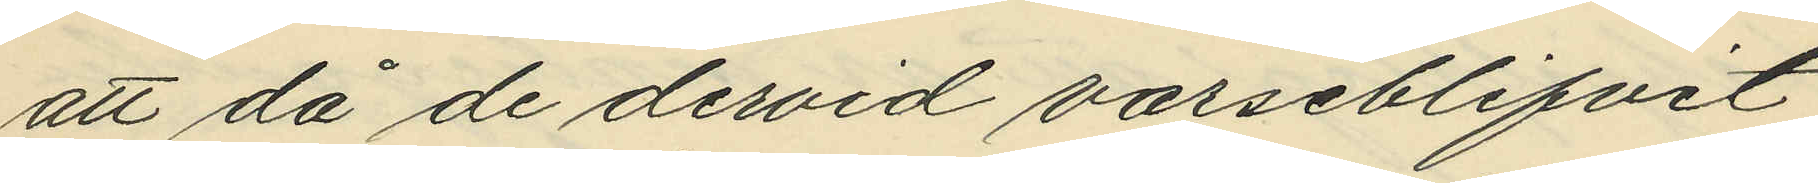att då de dervid varseblifvit
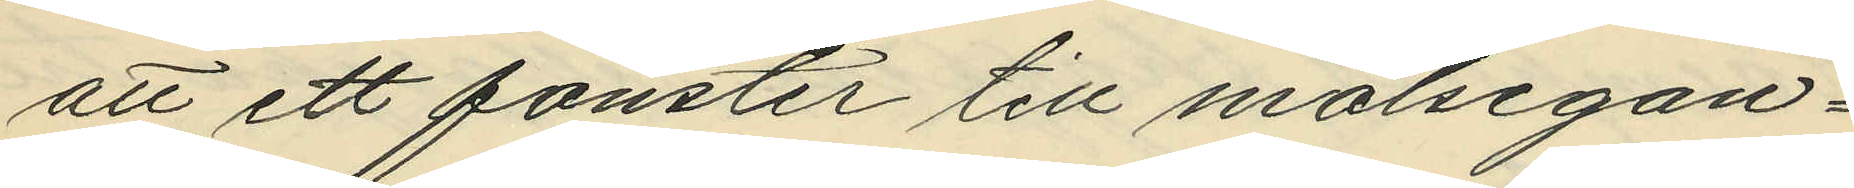att ett fönster till målsegan¬
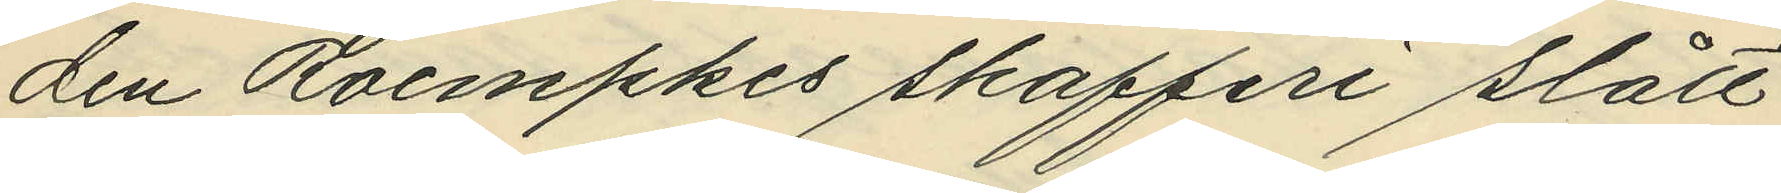den Roempkes skafferi slått
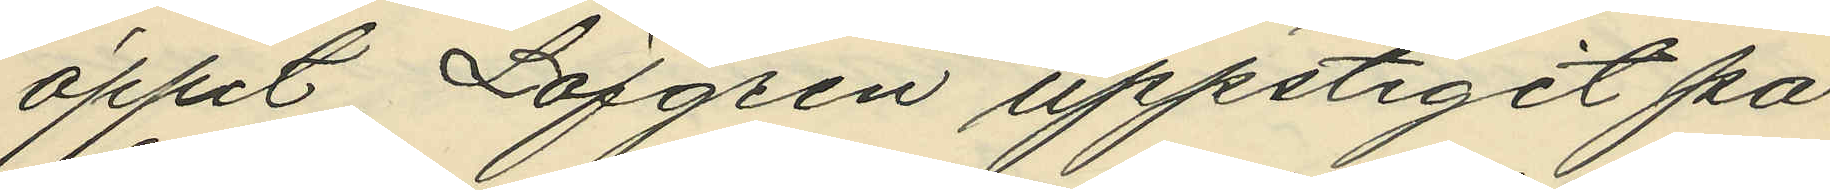öppet, Löfgren uppstigit på
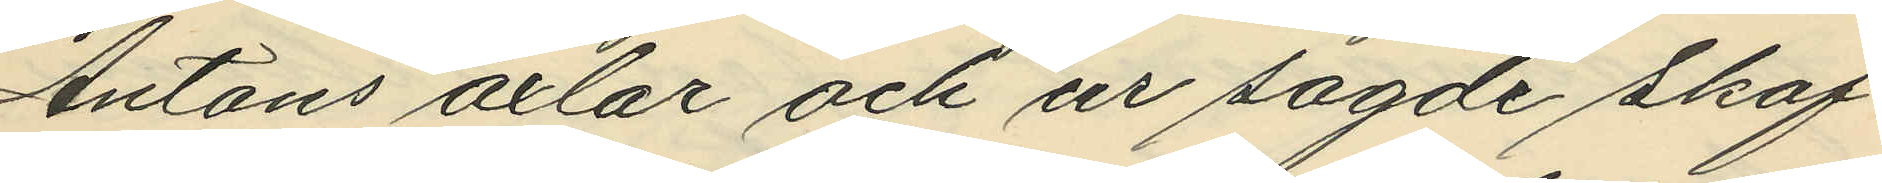Antons axlar och ur sagde skaf¬
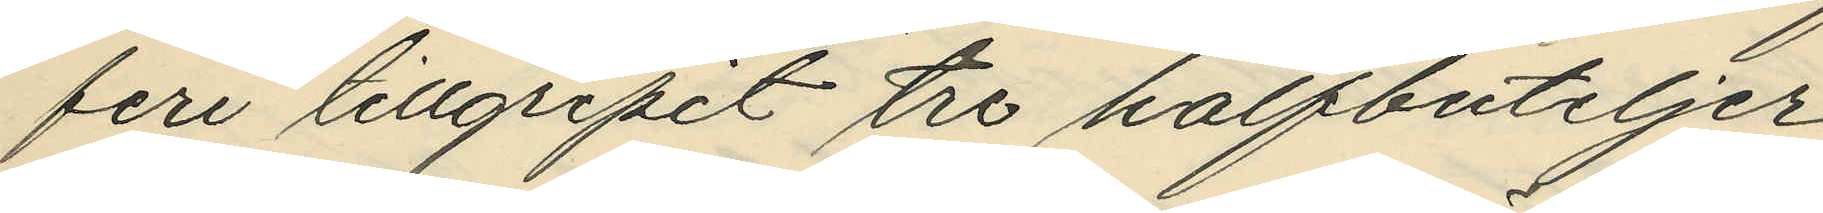feri tillgripit tre halfbuteljer
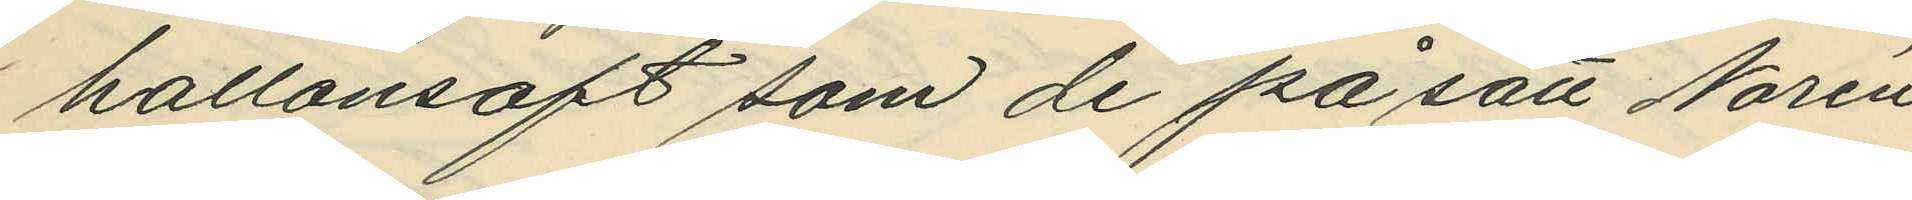hallonsaft som de på sätt Norén
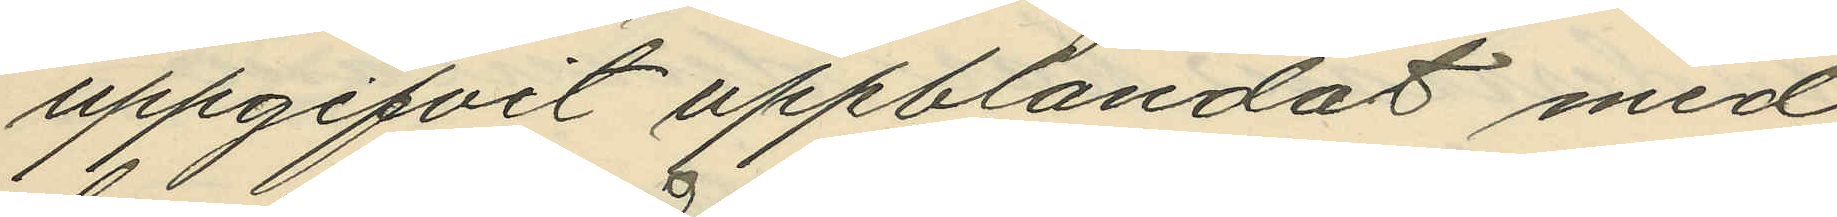uppgifvit uppblandat med
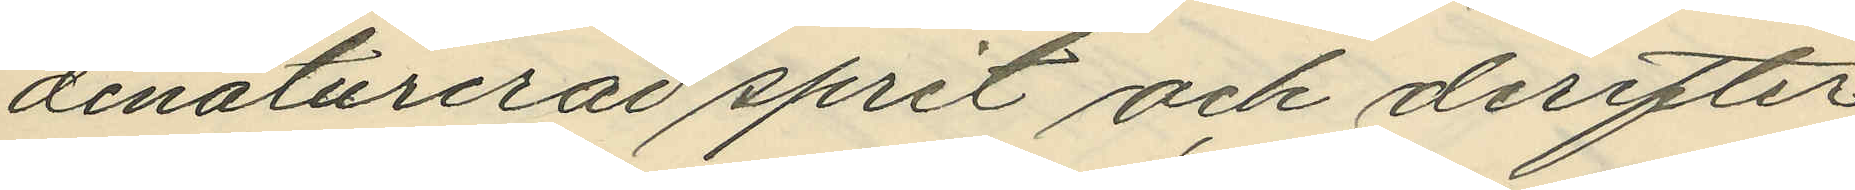denaturerad sprit och derefter
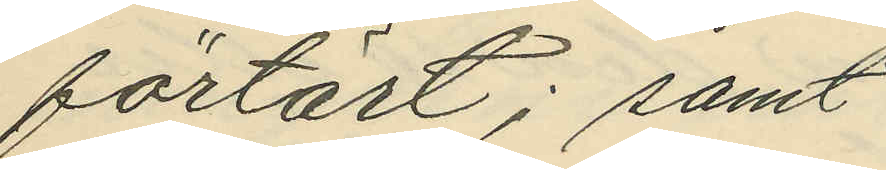förtärt; samt
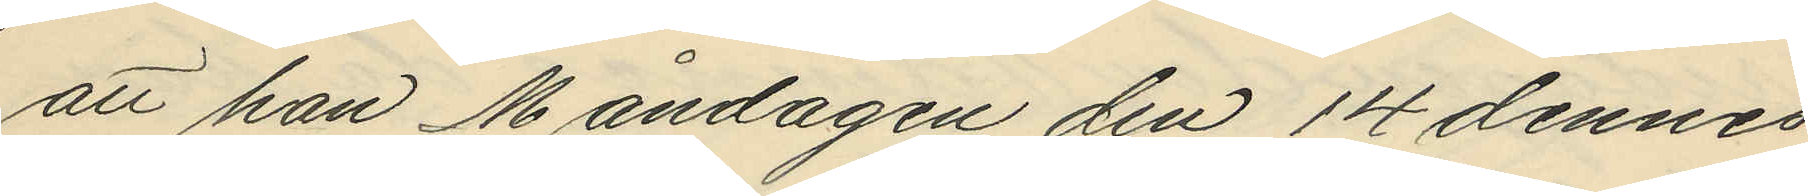att han Måndagen den 14 dennes
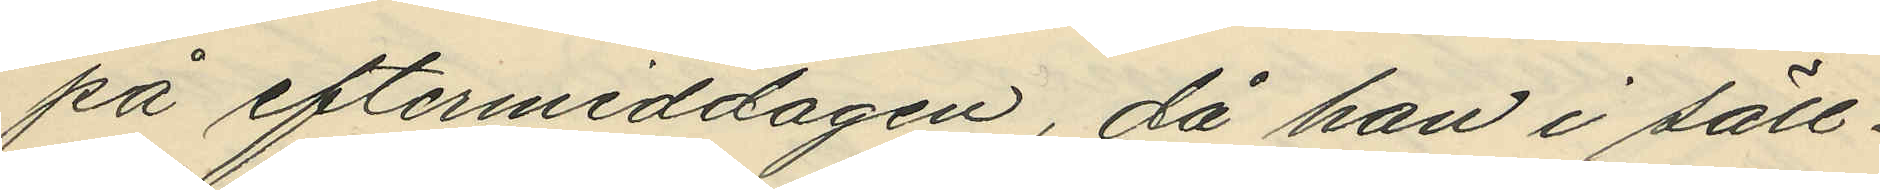på eftermiddagen, då han i säll¬
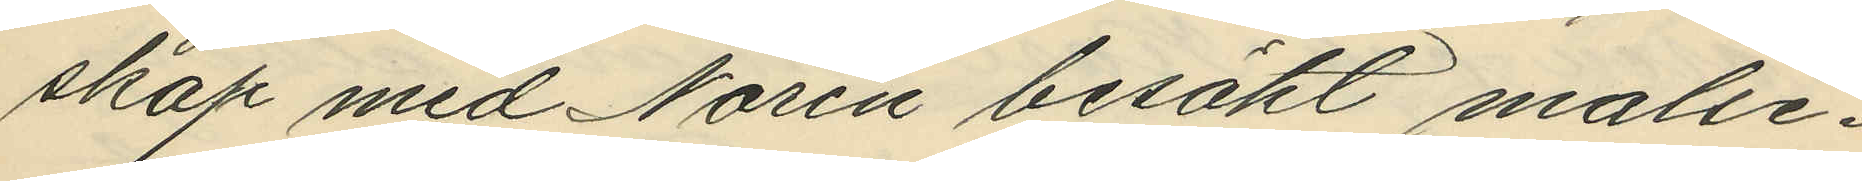skap med Norén besökt malse¬
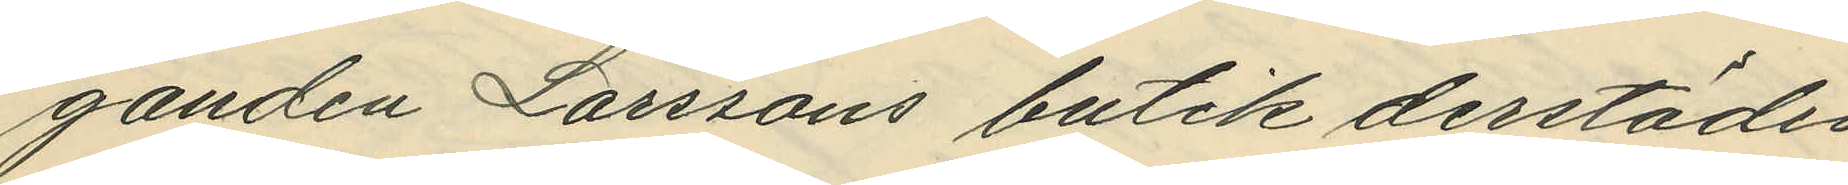ganden Larssons butik derstädes
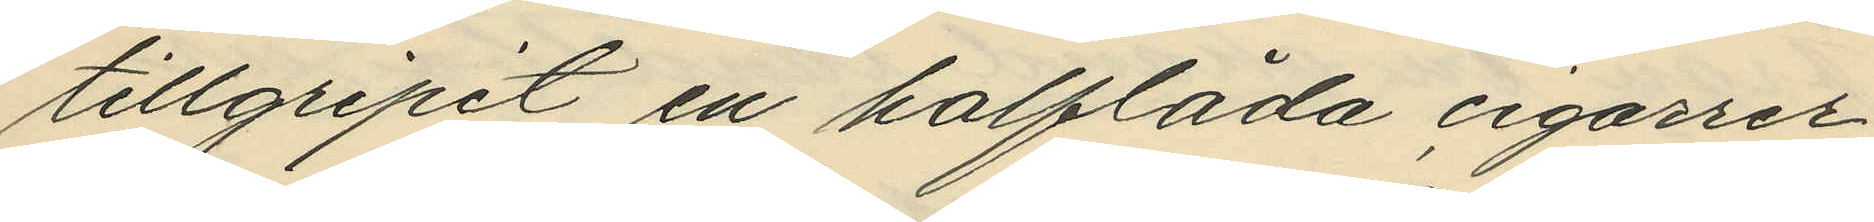tillgripit en halflåda cigarrer,
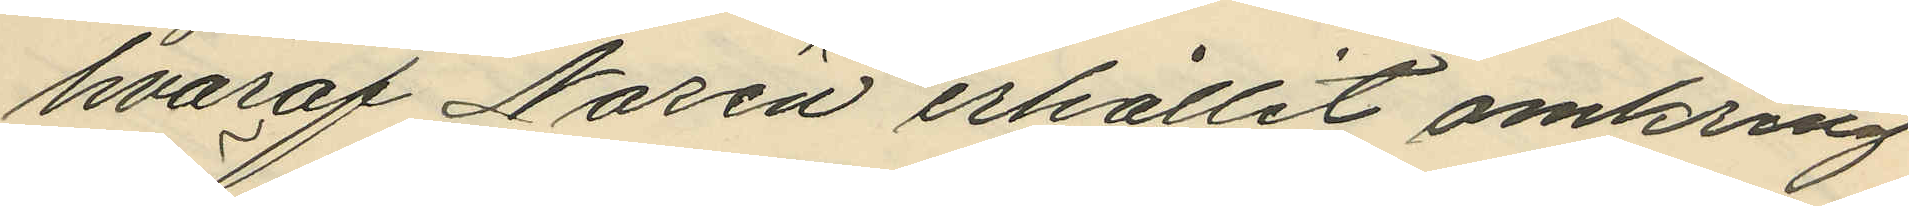hvaraf Norén erhållit omkring
